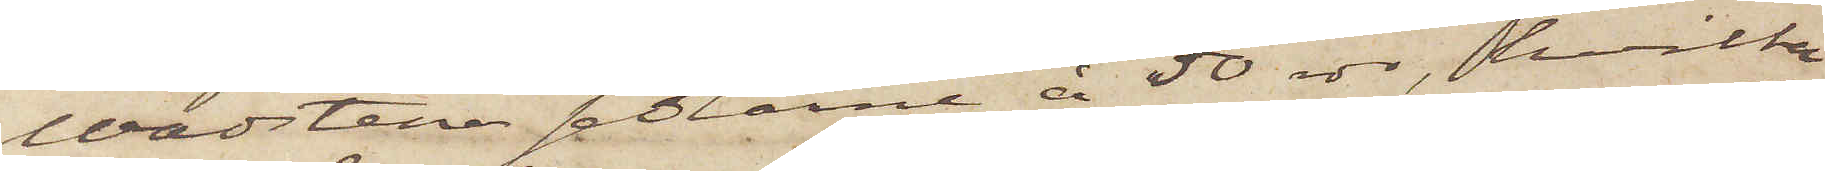Wadstena sedlarne å 50 rdr, hvilka
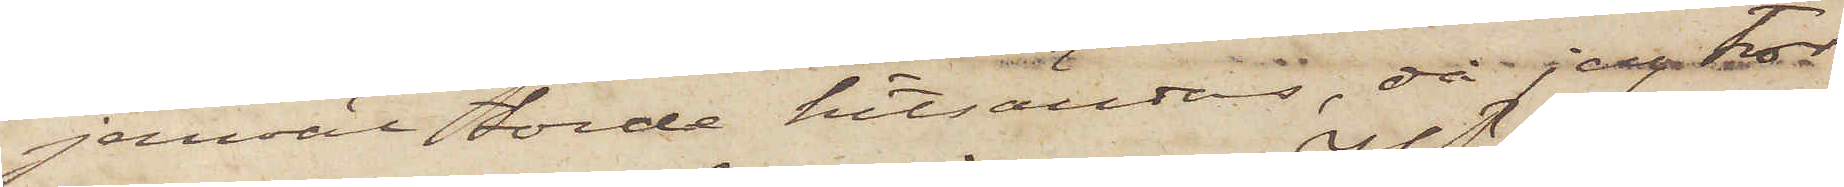jemväl torde hitsändas, då jag tror
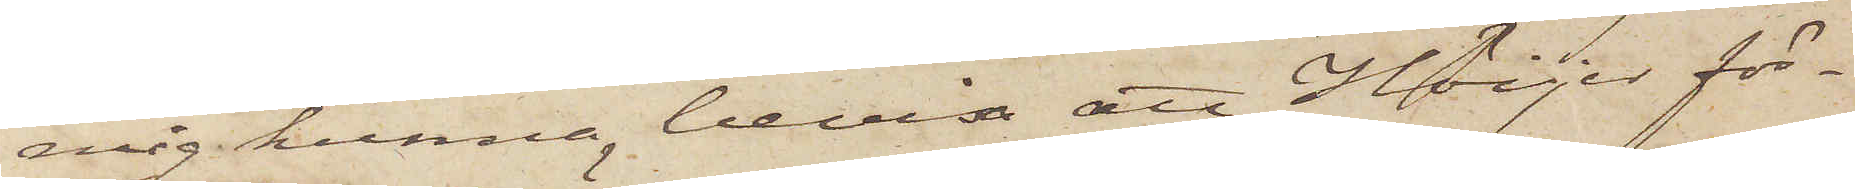mig kunna bevisa att Höijer för¬
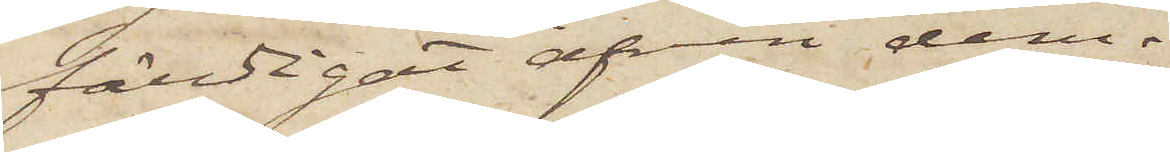färdigat äfven dem.
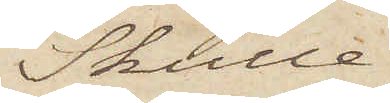Skulle
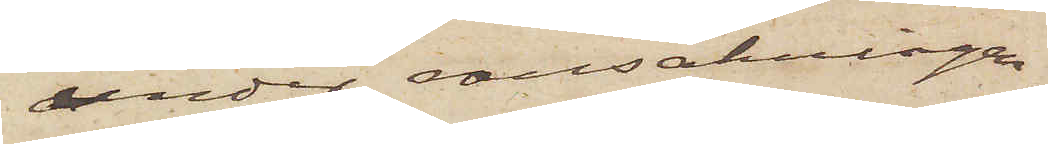under ransakningen
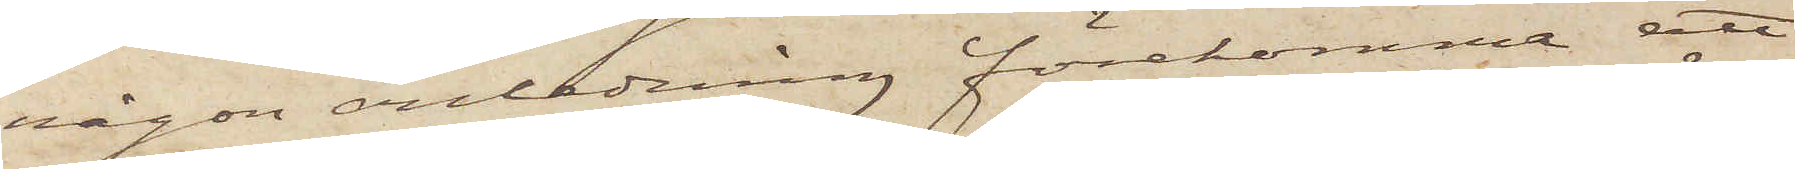någon anledning förekomma att
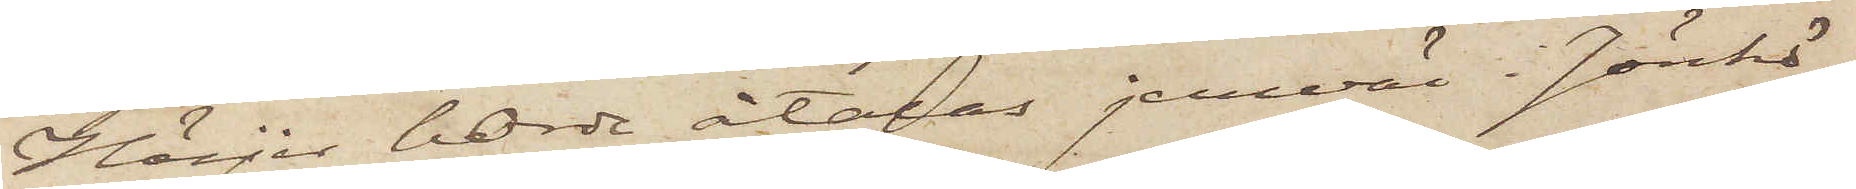Höijer borde åtalas jemväl i Jönkö¬
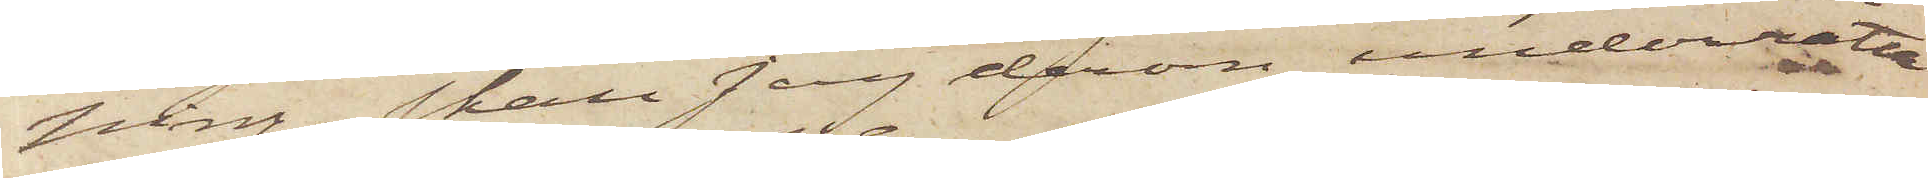ping, skall jag derom underrätta
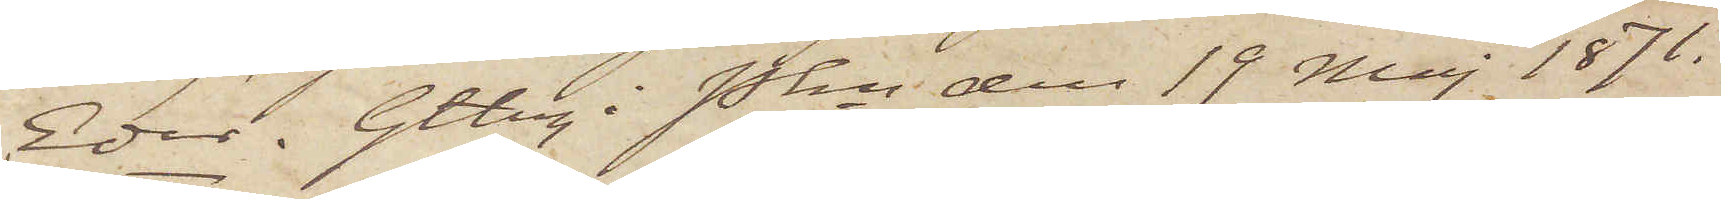Eder. Gtbrg i Pkn den 19 Maj 1871.
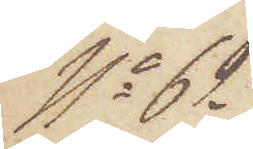No 62
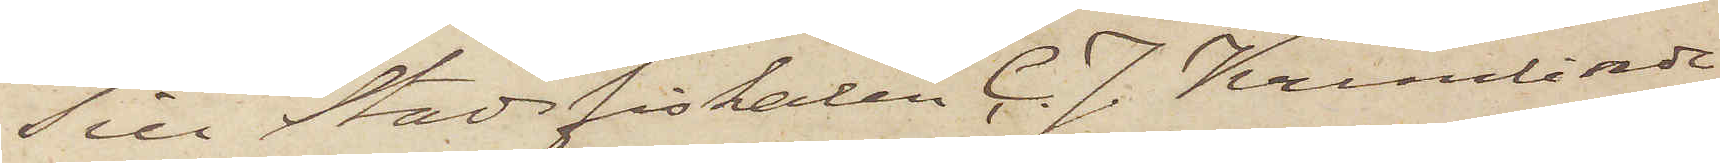Till Stadsfiskalen C. J. Krumlinde
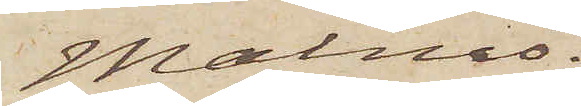Malmö.
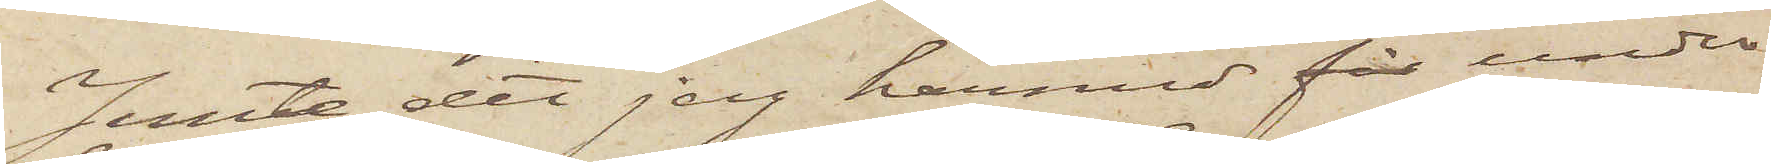Jemte det jag härmed får under¬
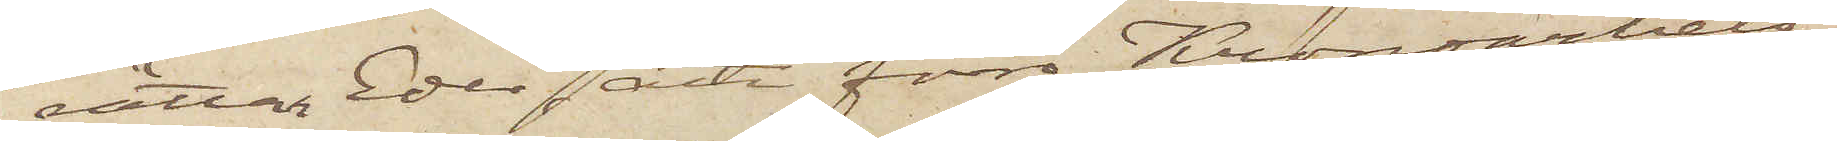rättar Eder att förra Kronoarbets¬
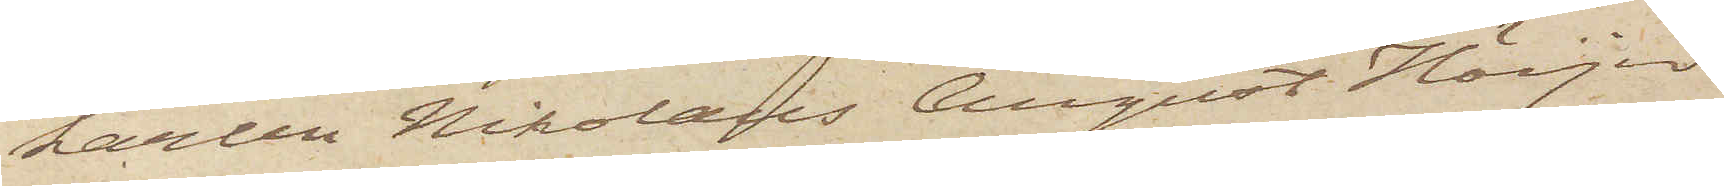karlen Nikolaus August Höijer
